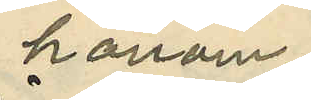honom
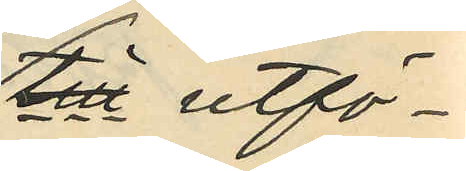till utfö¬
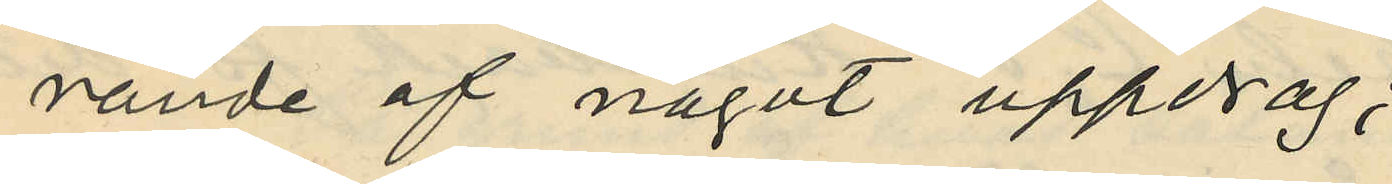rande af något uppdrag;
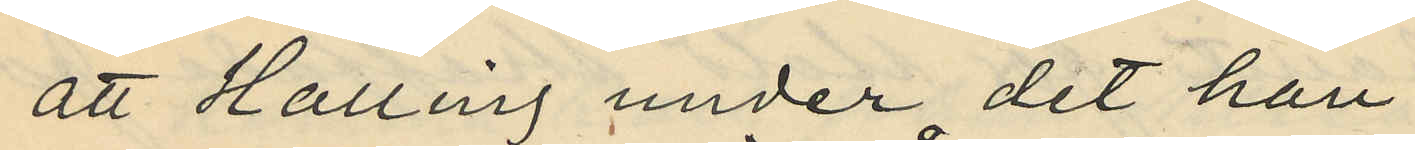att Halling under det han
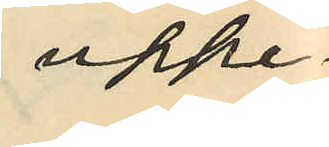uppe¬
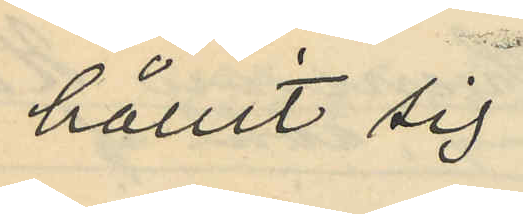hållit sig
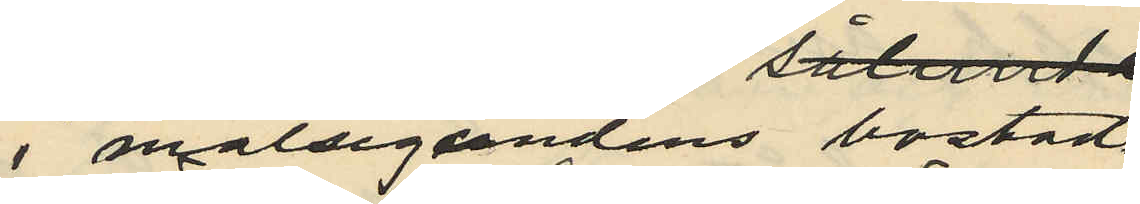i målsegandens bostad
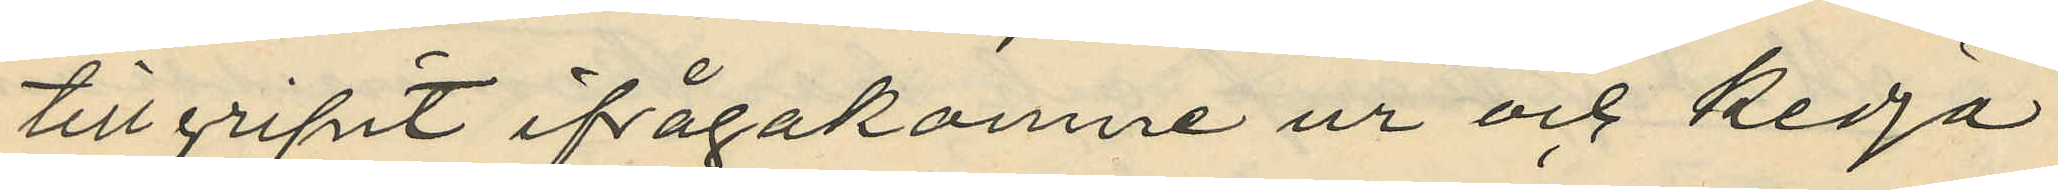tillgripit ifrågakomne ur och kedja
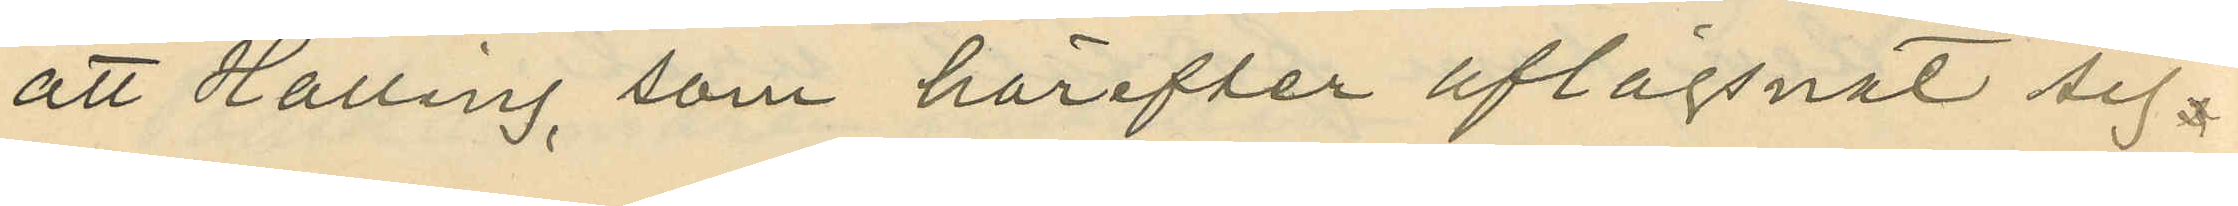att Halling, som härefter aflägsnat sig
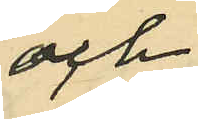och
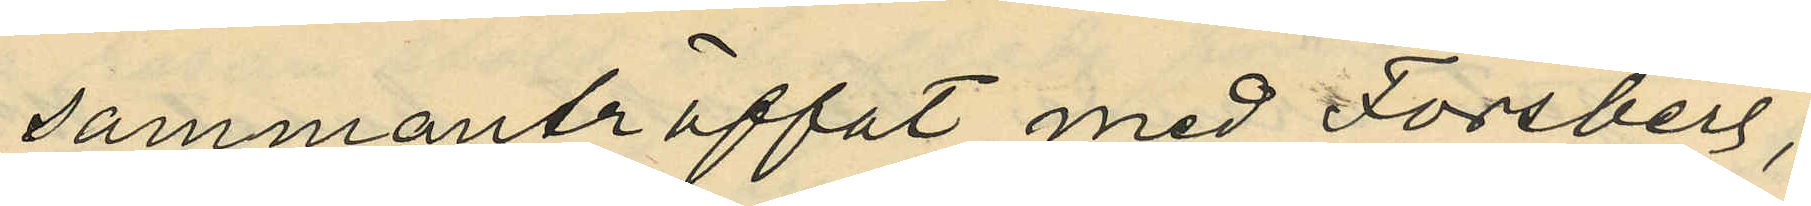sammanträffat med Forsberg,
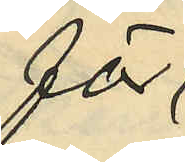för
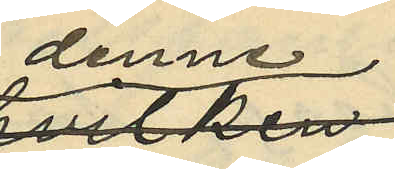denne
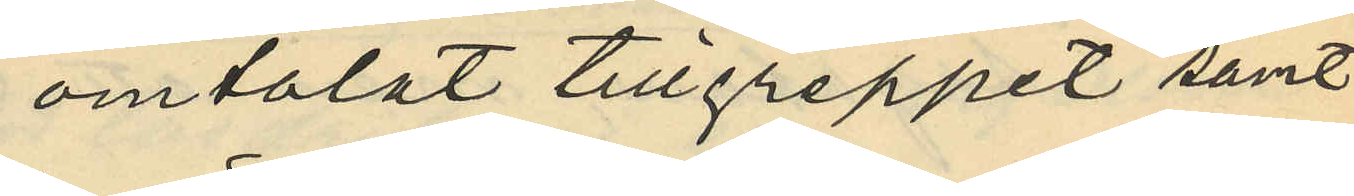omtalat tillgreppet samt
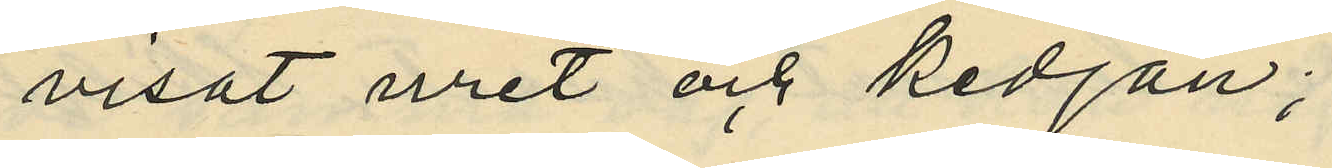visat uret och kedjan;
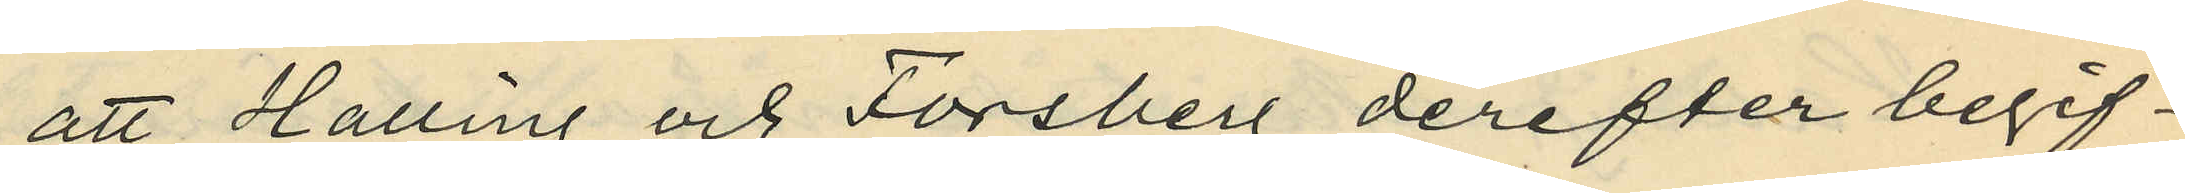att Halling och Forsberg derefter begif¬
